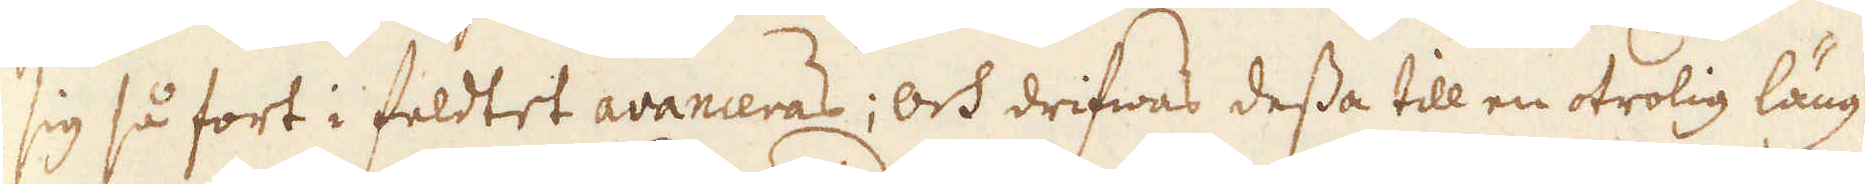sig så fort i feldtet avanceras; och drifwas dessa till en otrolig läng
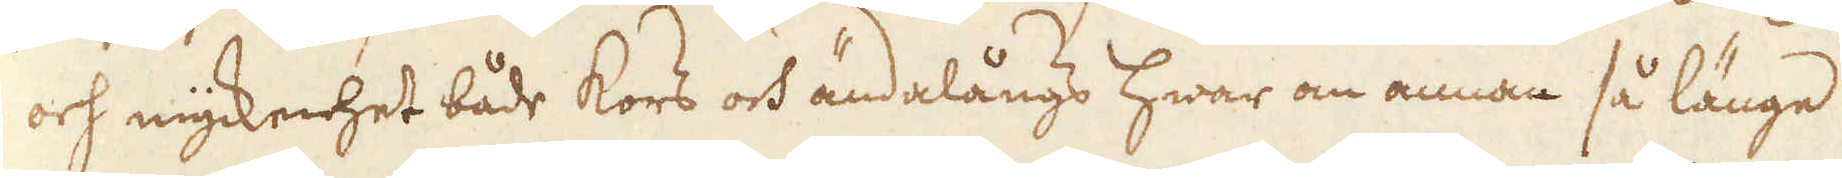och myckenhet både kors och ändalångs hwar om annan så länge
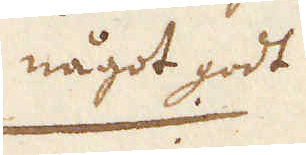något godt
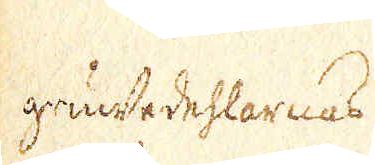gundedehlarnas
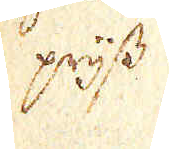prijss
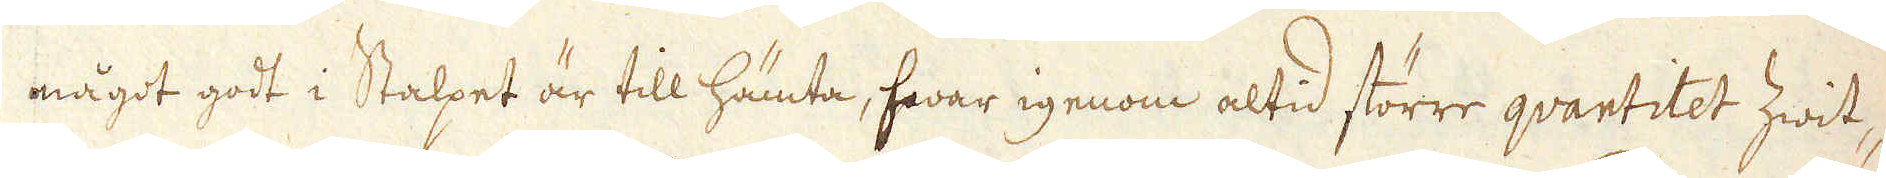något godt i Stalpet är till hämta, hwar igenom altid större qvantitet Zwit-
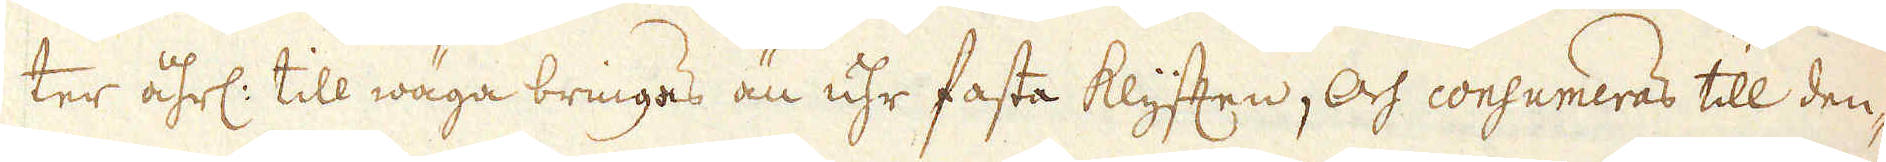ter åhrl: till wäga bringas än uhr fasta klyften, Och consumeras till den-
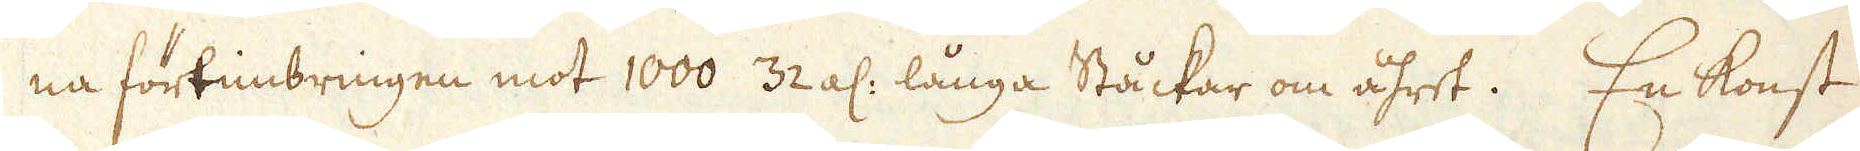na förtimbringen mot 1000 32 al: långa Ståckar om åhret. En konst
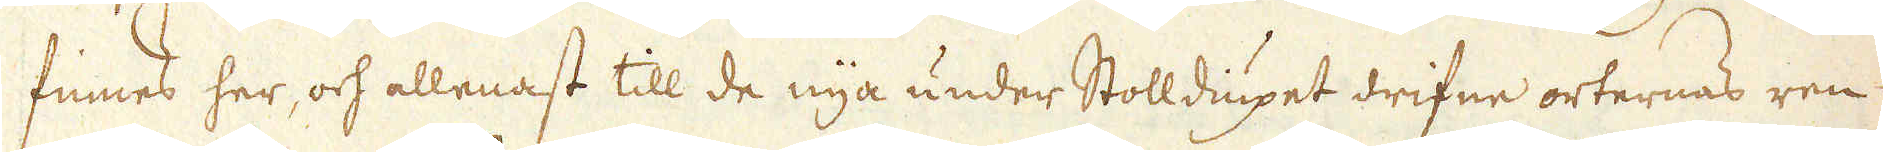finnes her, och allenast till de nya under Stolldiupet drifne orternas ren
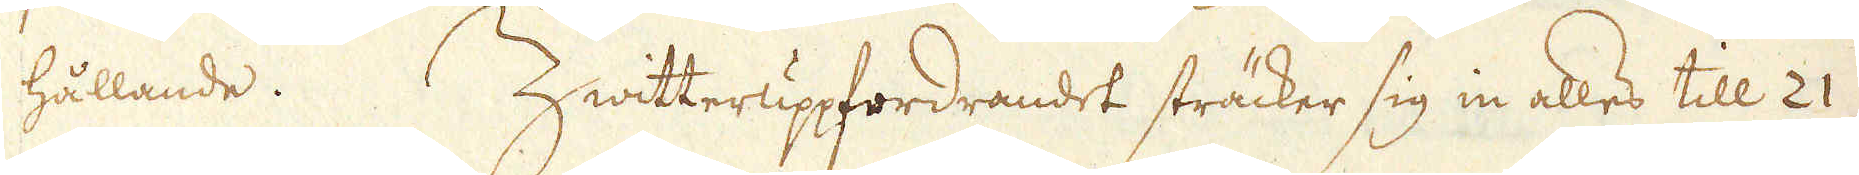hållande. Zwitteruppfordrandet sträcker sig in alles till 21
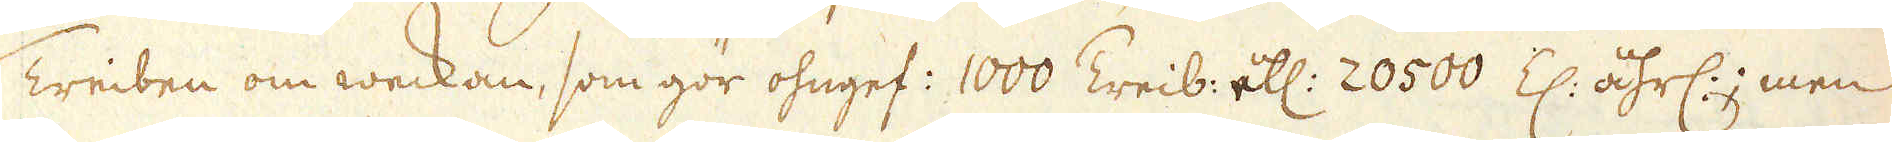Treiben om weckan, som gör ohngef: 1000 Treib: ell: 20500 Z: åhrl:; men
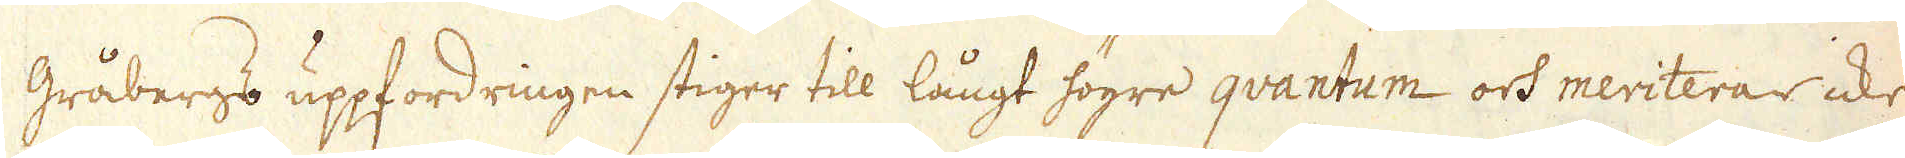gråbergs uppfordringen stiger till långt högre qvantum och meriterar icke
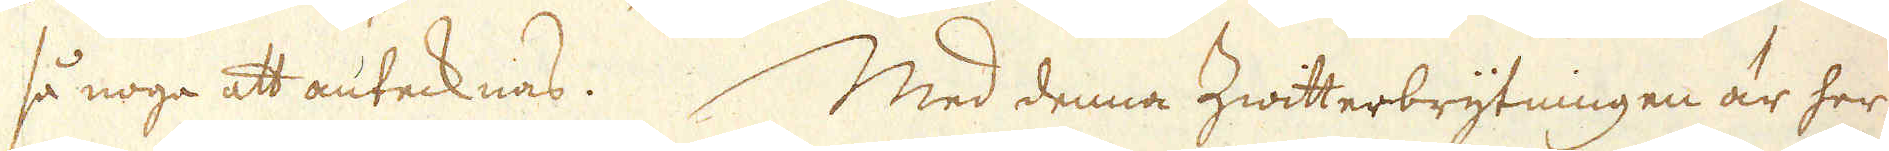så noga att antecknas. Med denna Zwitterbrytningen är her
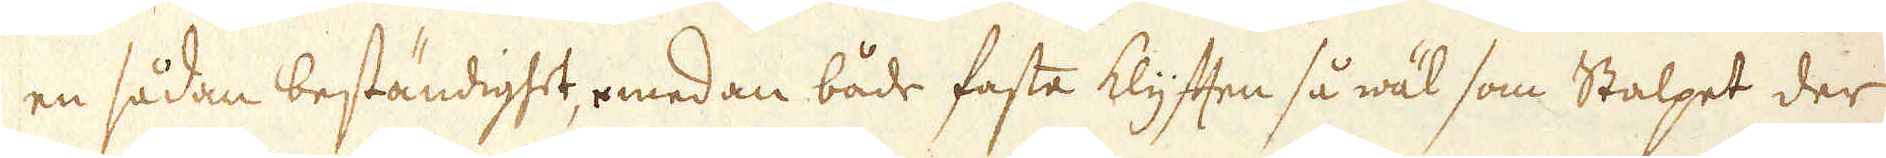en sådan beständigtet, emedan både fasta klyften så wäl som Stalpet der
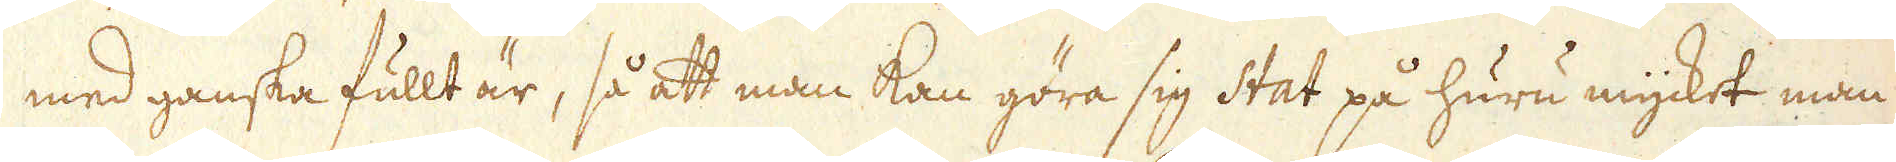med ganska fullt är, så att man kan göra sig Stat på huru mycket man
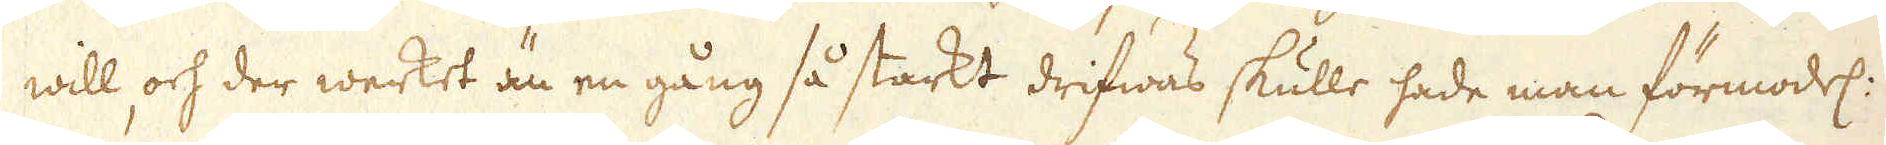will och der werket än en gång så starkt drifwas skulle hade man förmodel:
